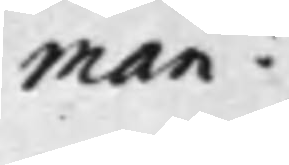man.
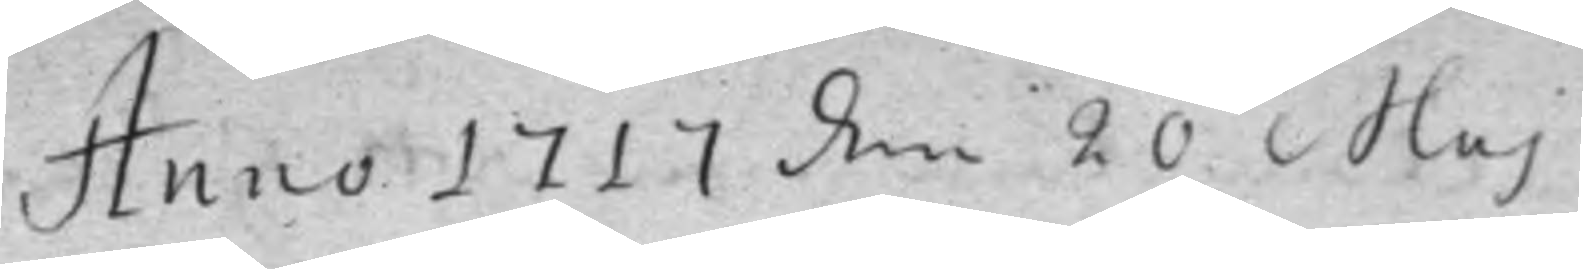Anno 1717 den 20 Maj
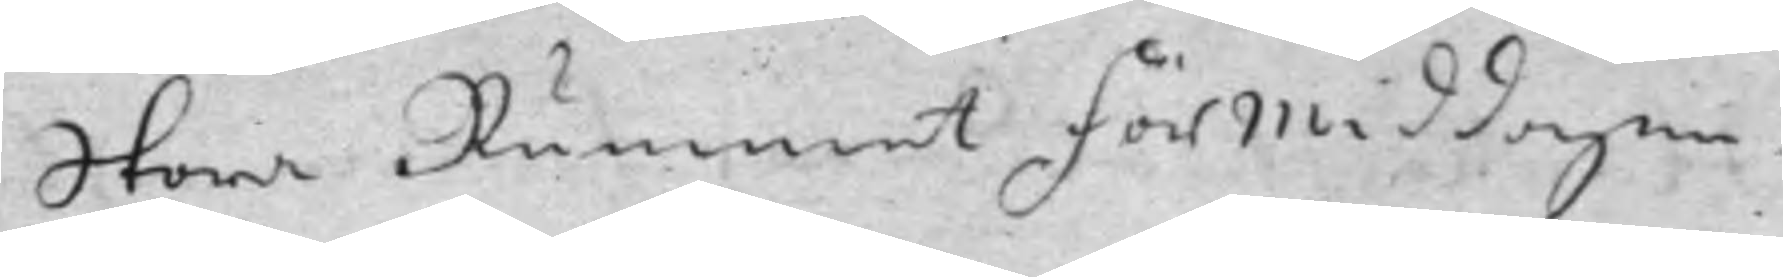Stora Rummet Förmiddagen
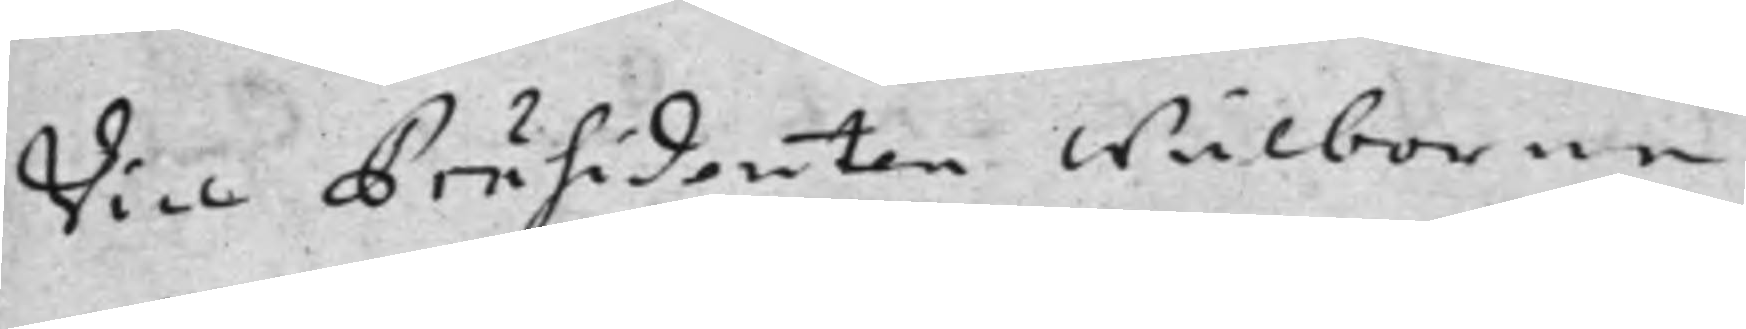Vice Präsidenten Wälborne
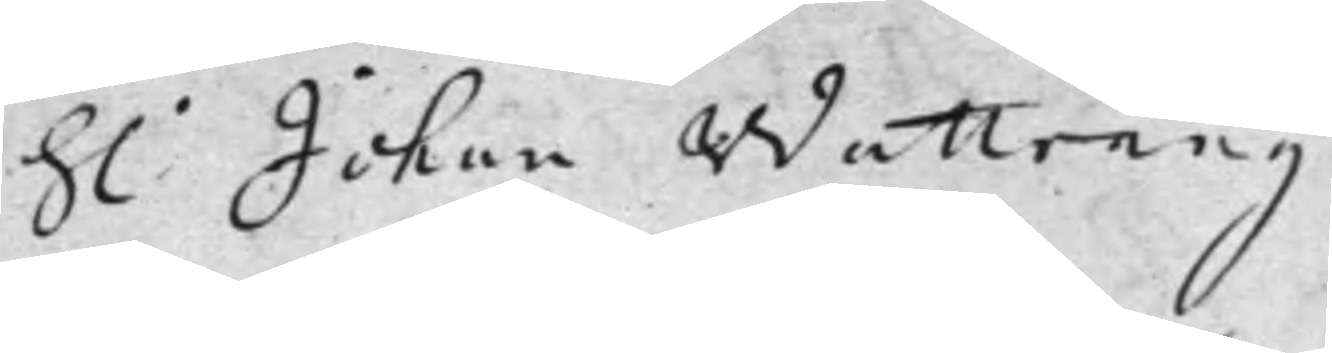h: Johan Wattrang
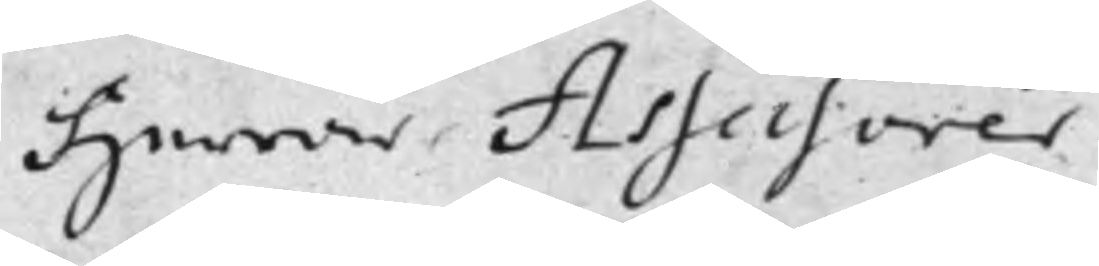Herrar Assessorer
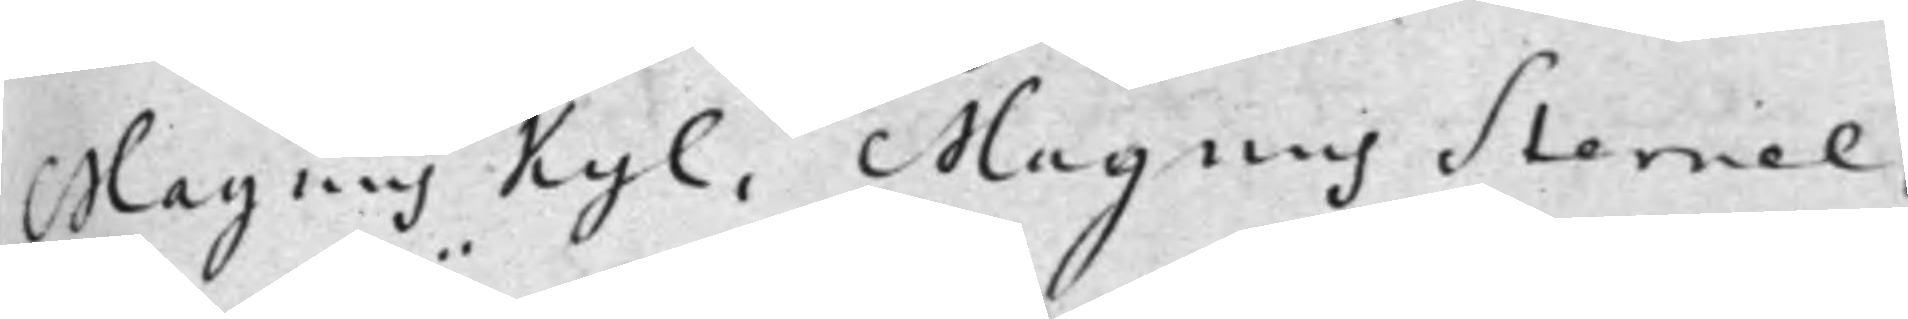Magnus Kyl, Magnus Sternel,
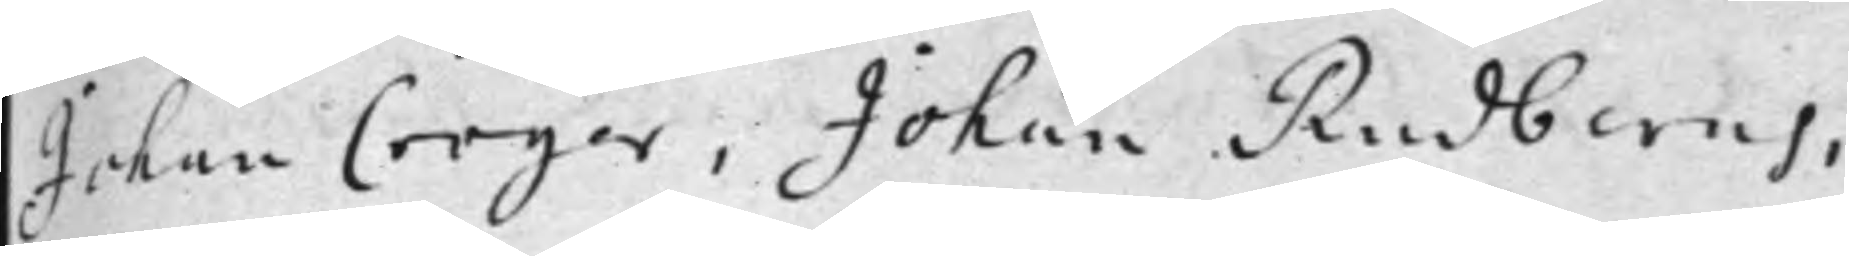Johan Cröger, Johan Rudberus,
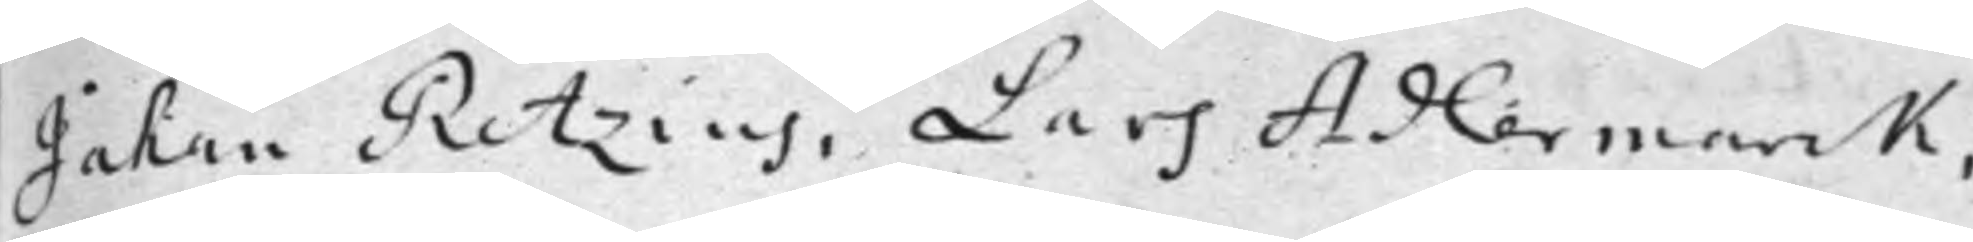Johan Retzius, Lars Adlermark,
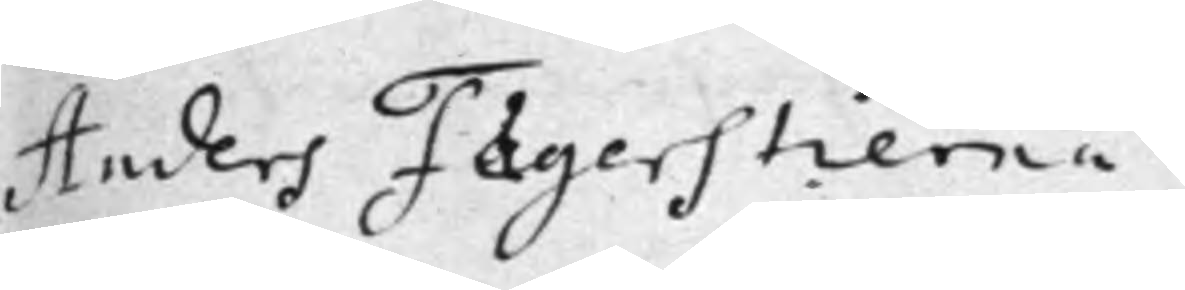Anders Fägerstierna.
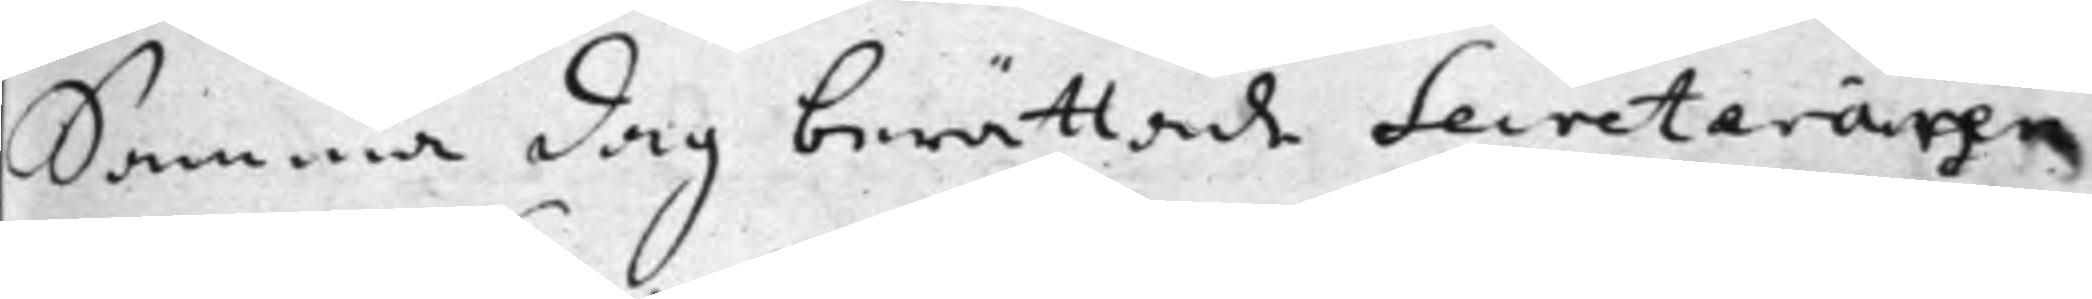Samma dag berättade Secreteraren
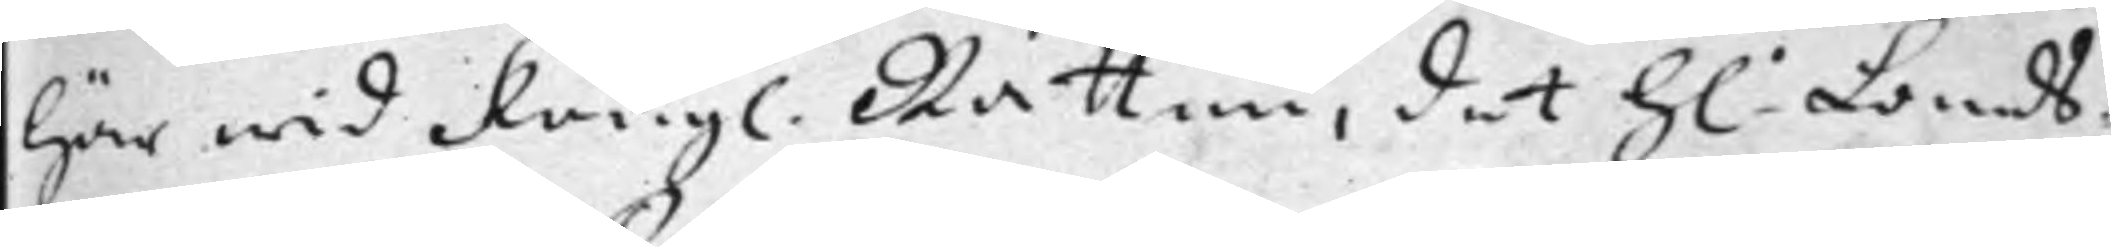här wid Kongl. Rätten, det h: Lands¬
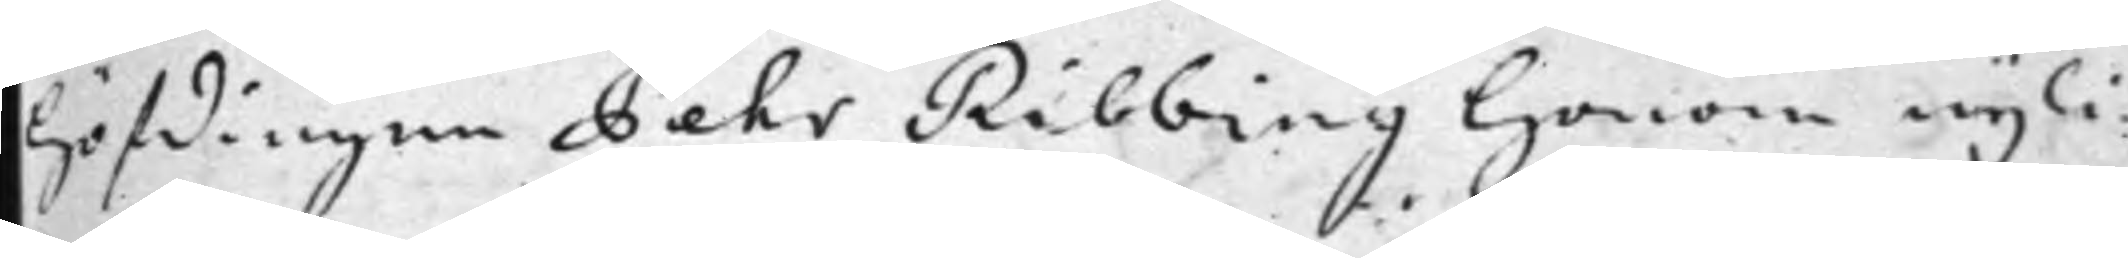Höfdingen Pehr Ribbing honom nyli¬
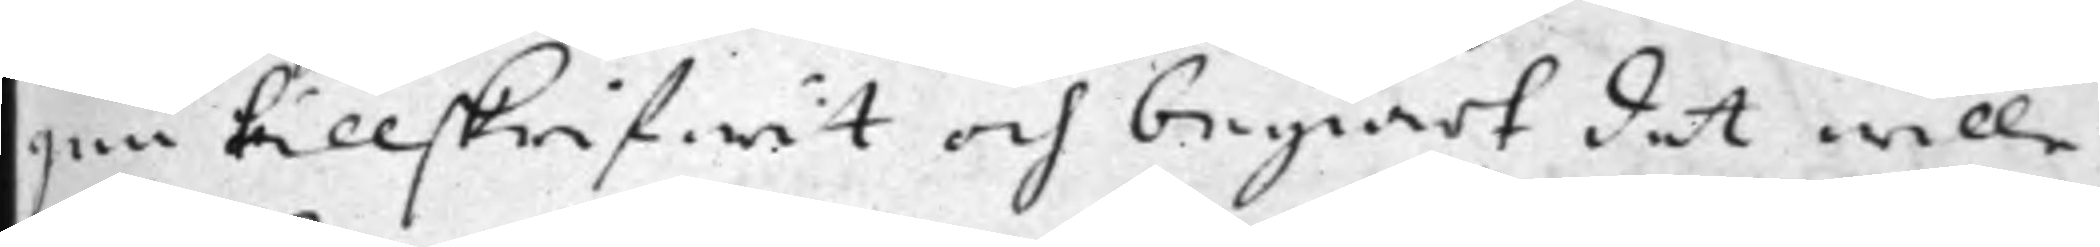gen tillskrifwit och begiärt det wille
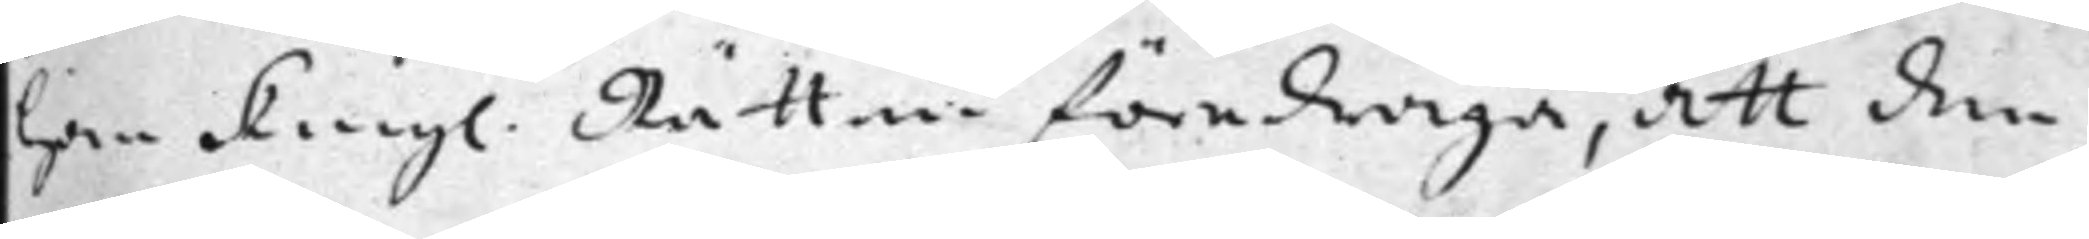han Kongl. Rätten föredraga, att den
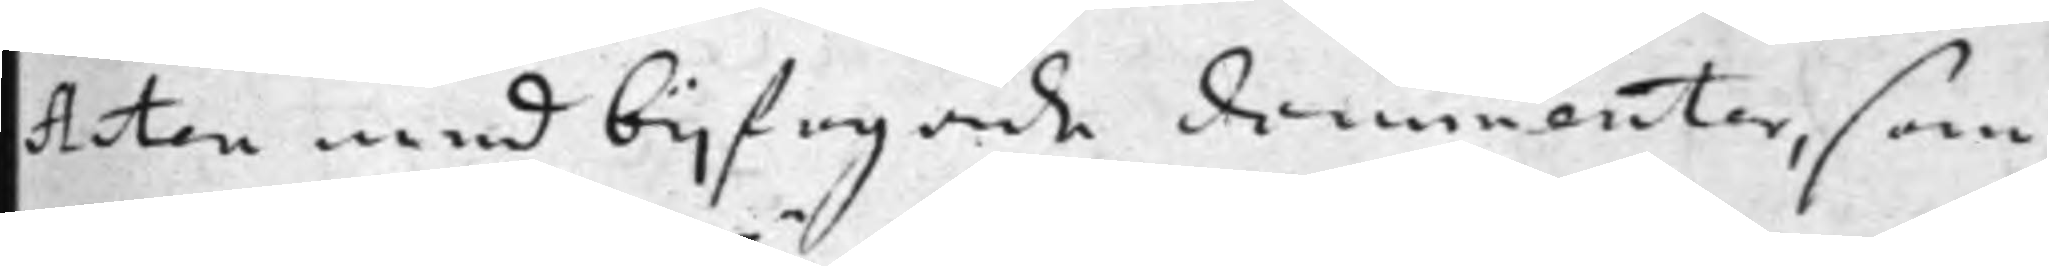Acten med bijfogade documenter, som
